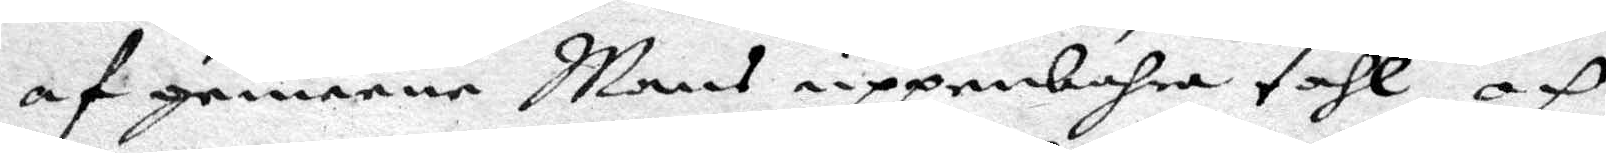af grannarne Mons uppenbahra tahl, och
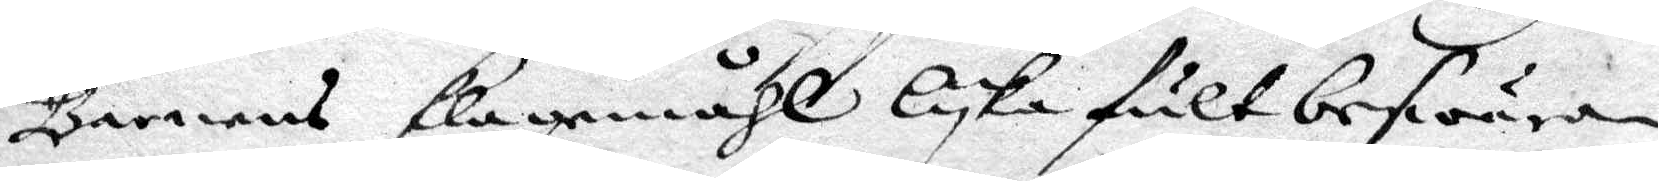Barnens klagemåhl lyka fult beswära¬
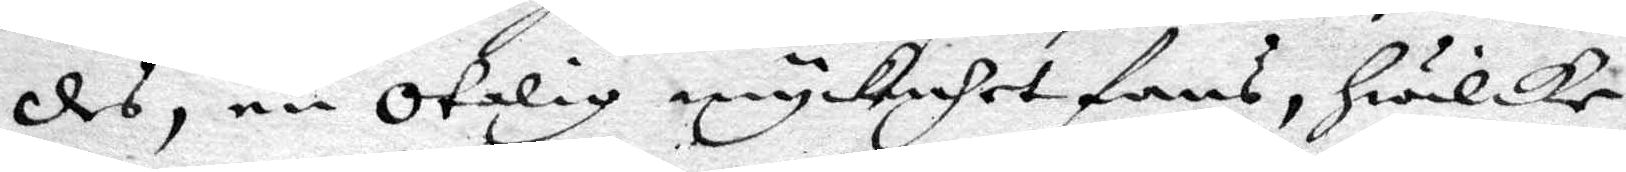des, en otalig myckenhet fans, hwilke
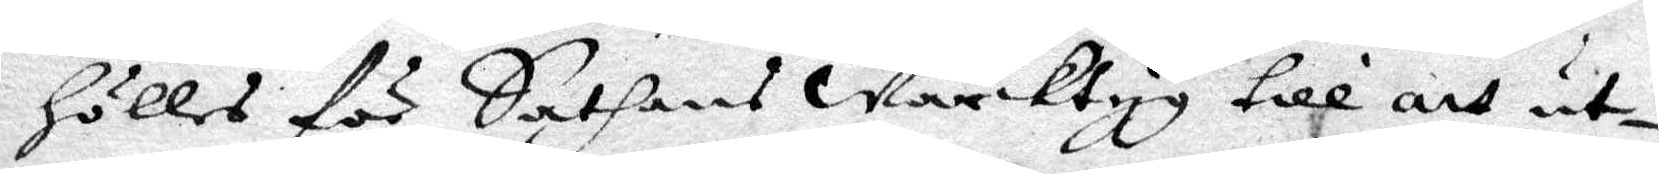hölles för Sathans Wärktyg till att ut¬
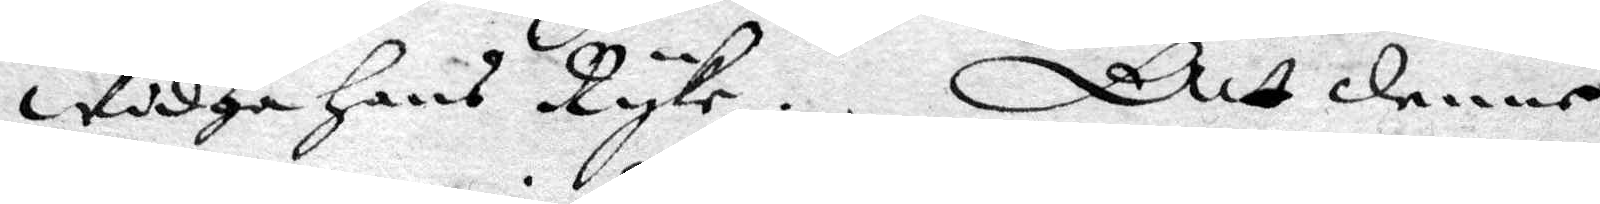widga hans Ryke. Att denne
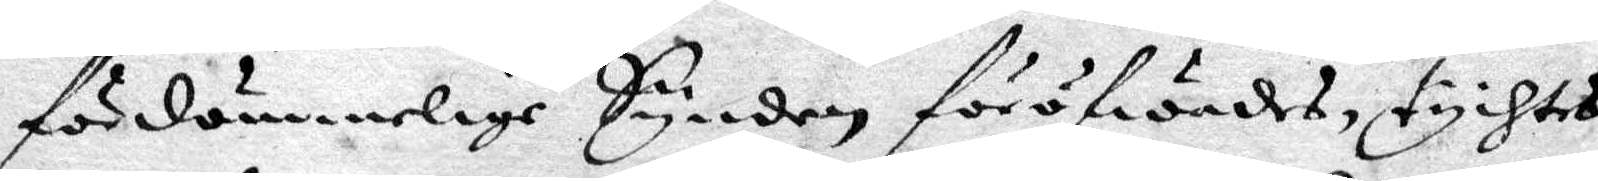fördömmelige Synden föröfwades, tychtes
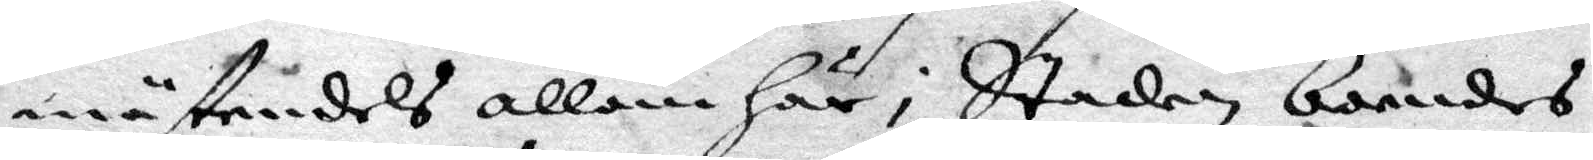mästendels allom här i Staden boendes
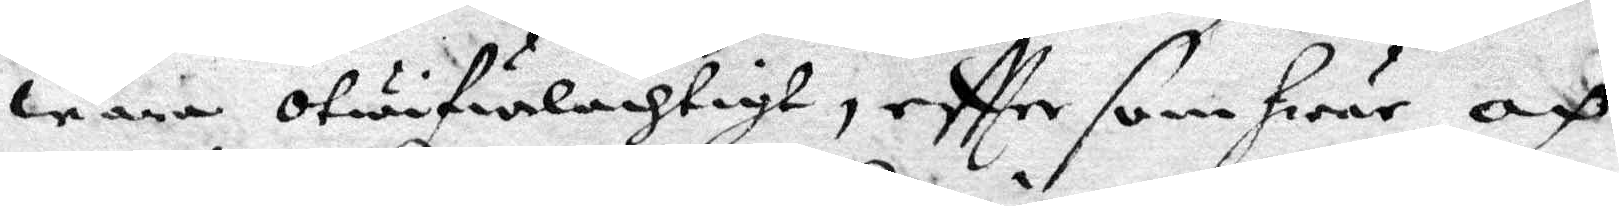wara otwifwelachtigt, eftter som hwar och
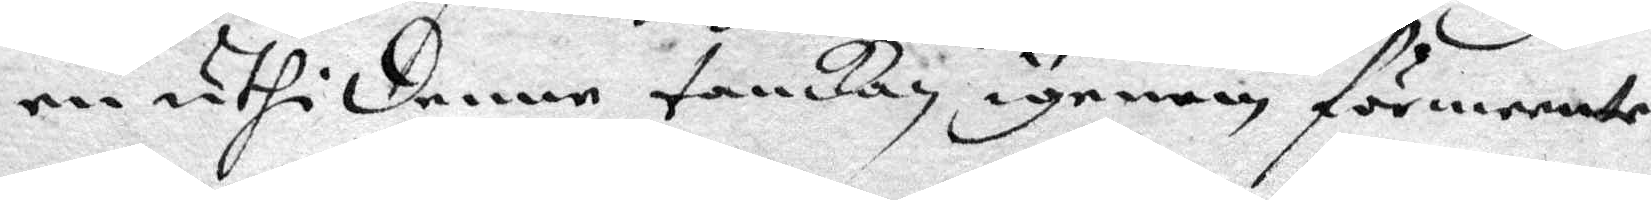en uthi denne tankan igenom förmeente
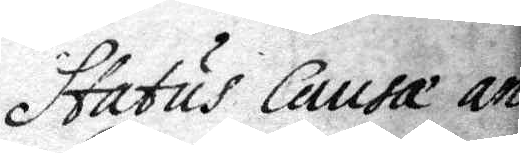Status Causa an
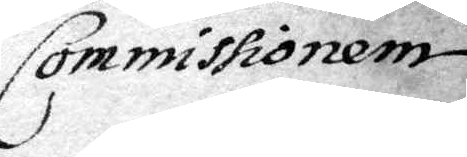Commissionen
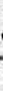och alla fängelsen medh slyka criminaliter
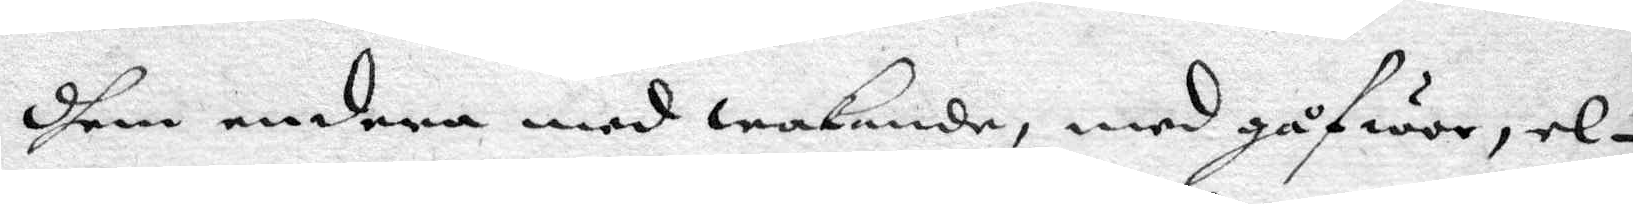dhem andren med wakande, med gåfwor, el¬
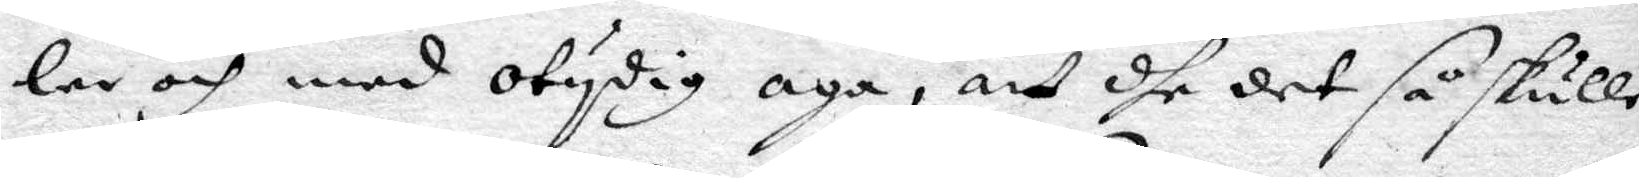ler och med otydig aga, att dhe det så skulle
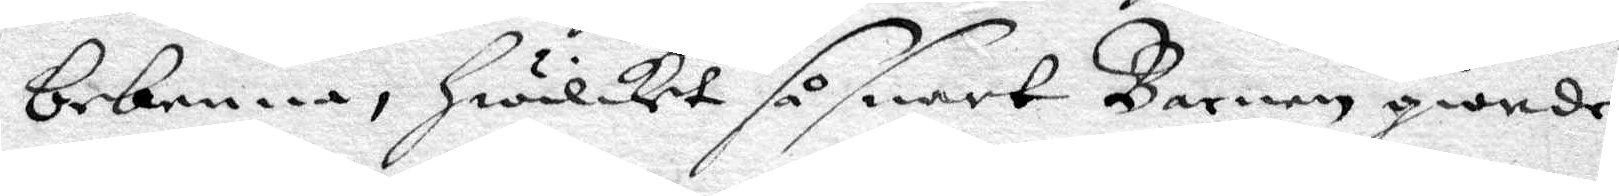bekenna, hwilket så snart Barnen giorde,
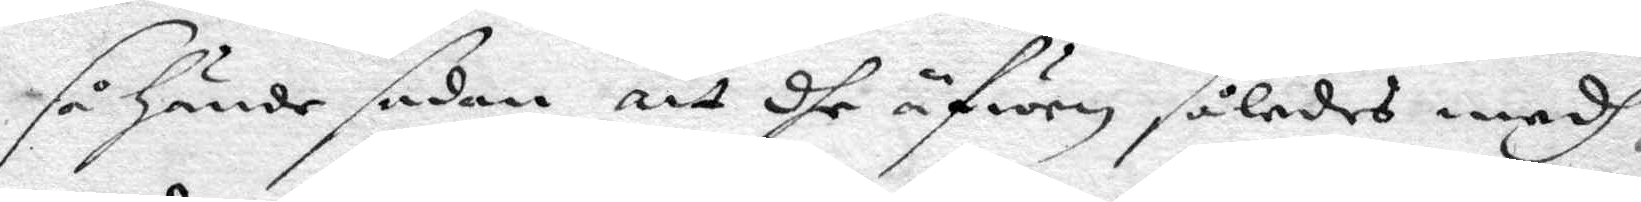så hände sedan att dhe äfwen således medh
